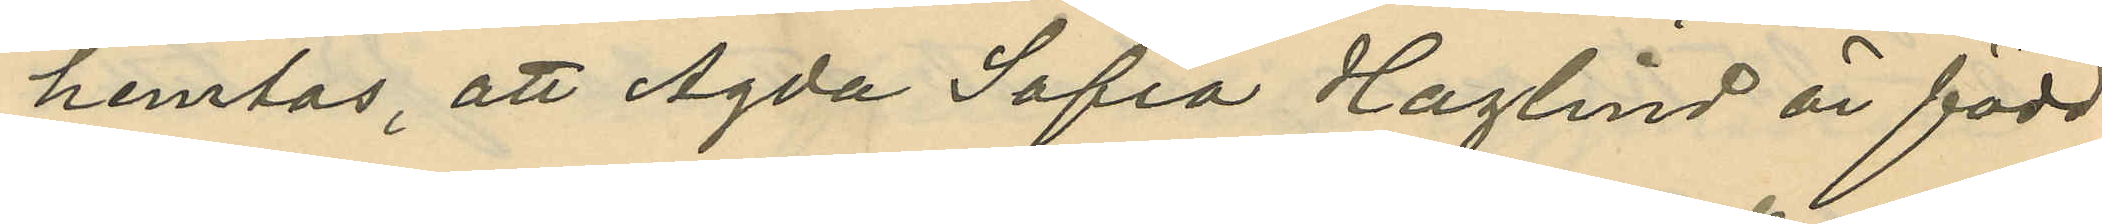hemtas, att Agda Sofia Haglind är född
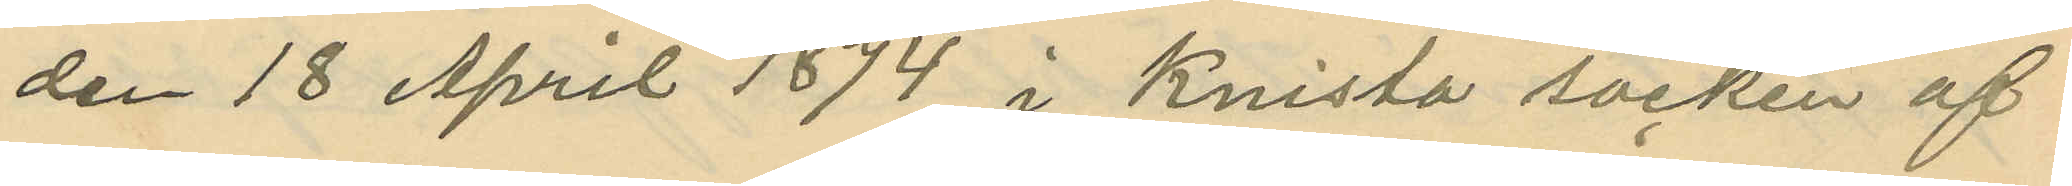den 18 April 1874 i Knista socken af
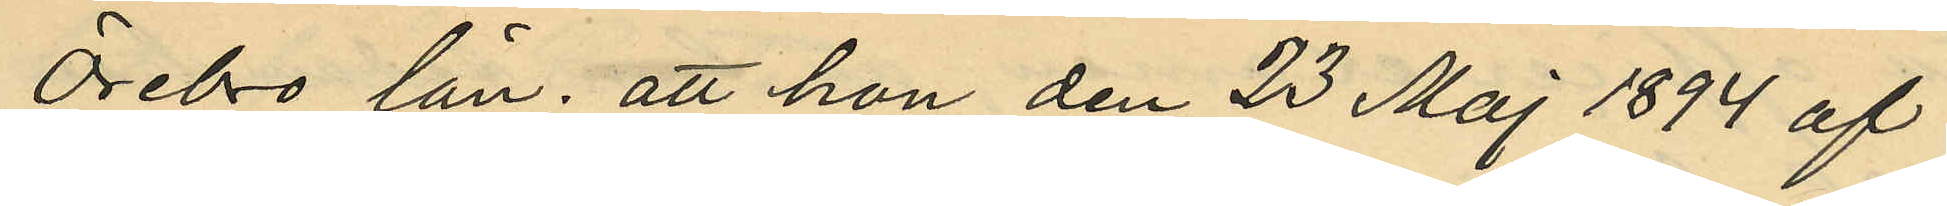Örebro län; att hon den 23 Maj 1894 af
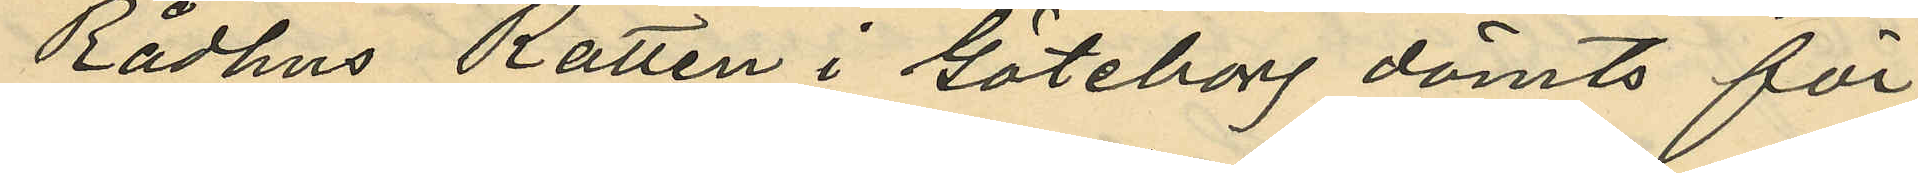Rådhus Rätten i Göteborg dömts för
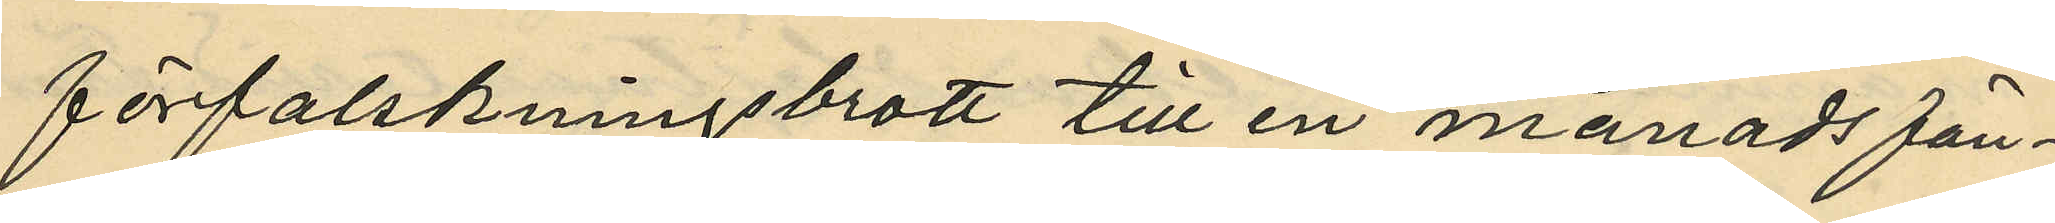förfalskningsbrott till en månads fän¬
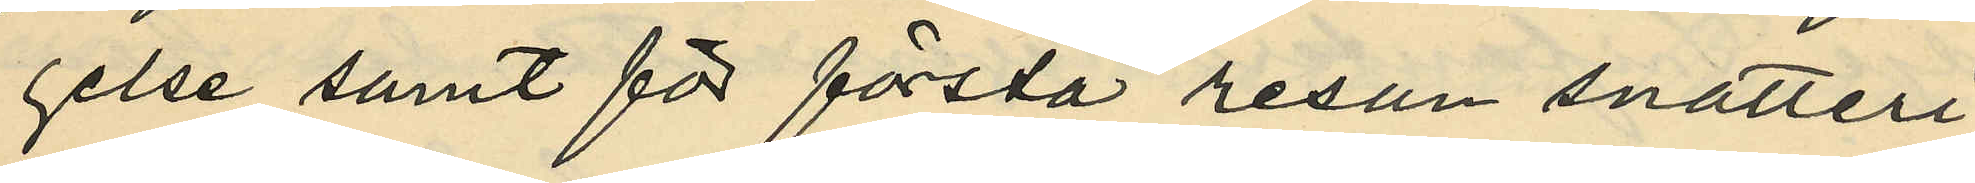gelse samt för första resan snatteri
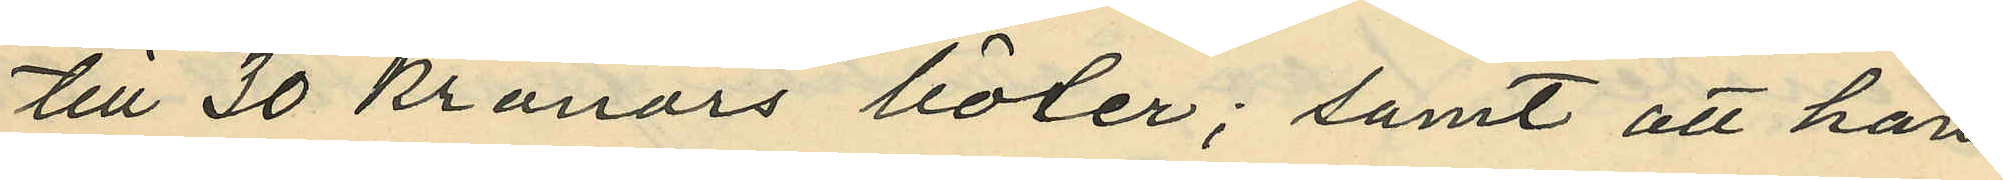till 30 kronors böter; samt att hon
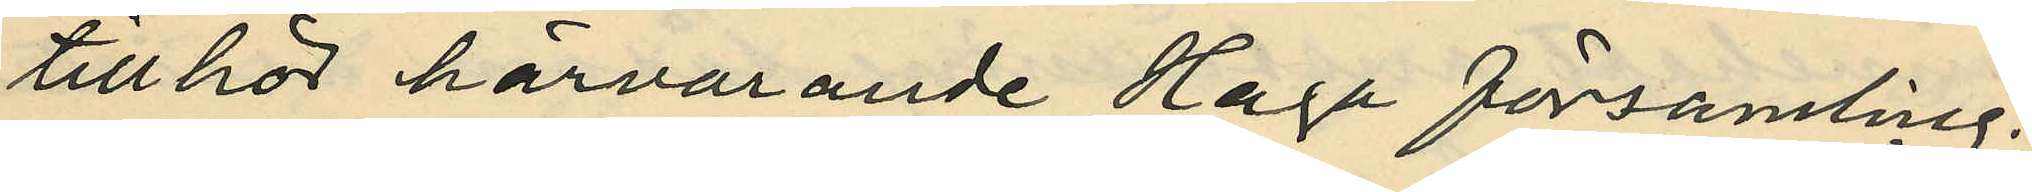tillhör härvarande Haga församling.
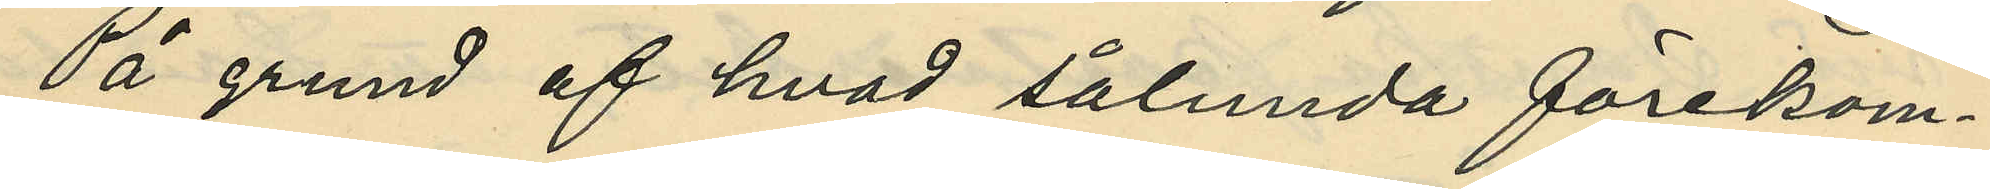På grund af hvad sålunda förekom¬
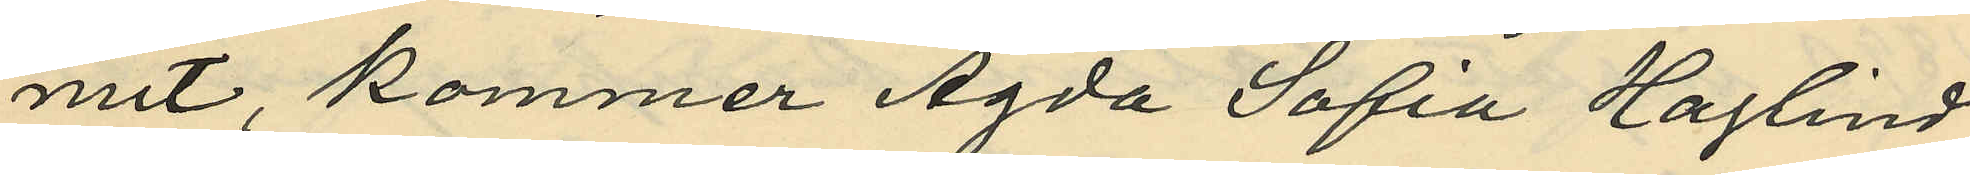mit, kommer Agda Sofia Haglind
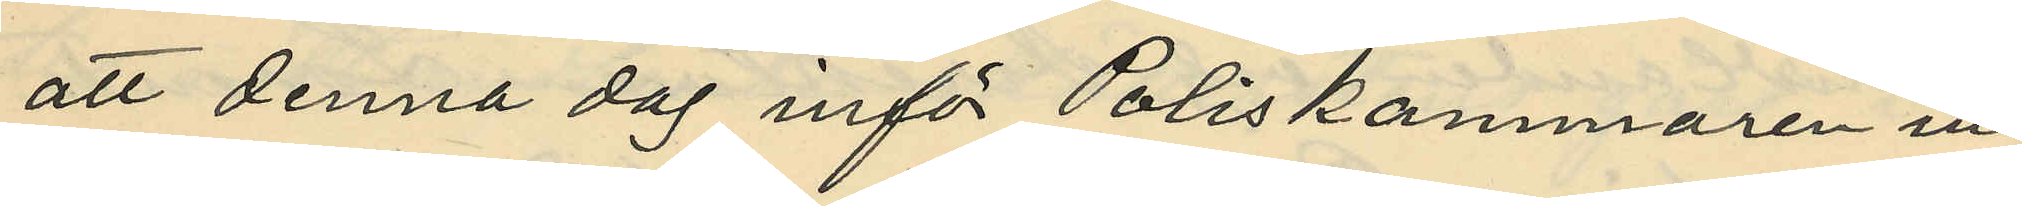att denna dag inför Poliskammaren in¬
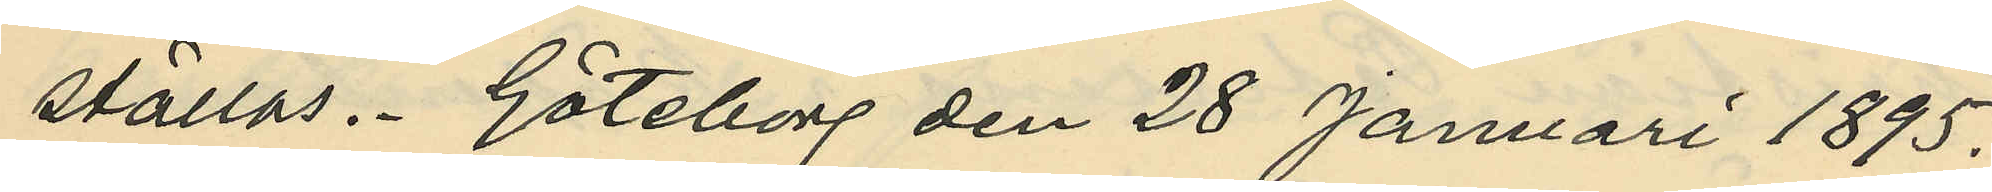ställas. Göteborg den 28 Januari 1895.
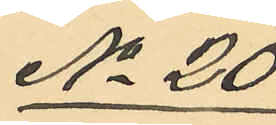No 20
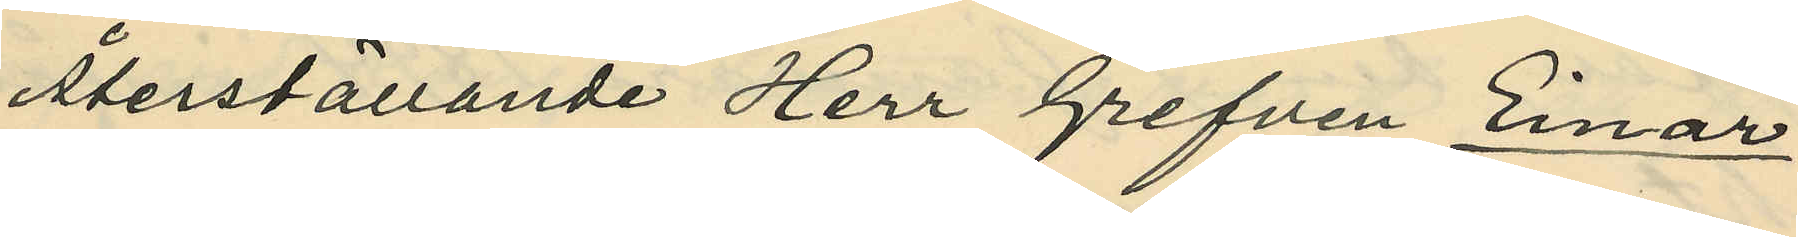Återställande Herr Grefven Einar
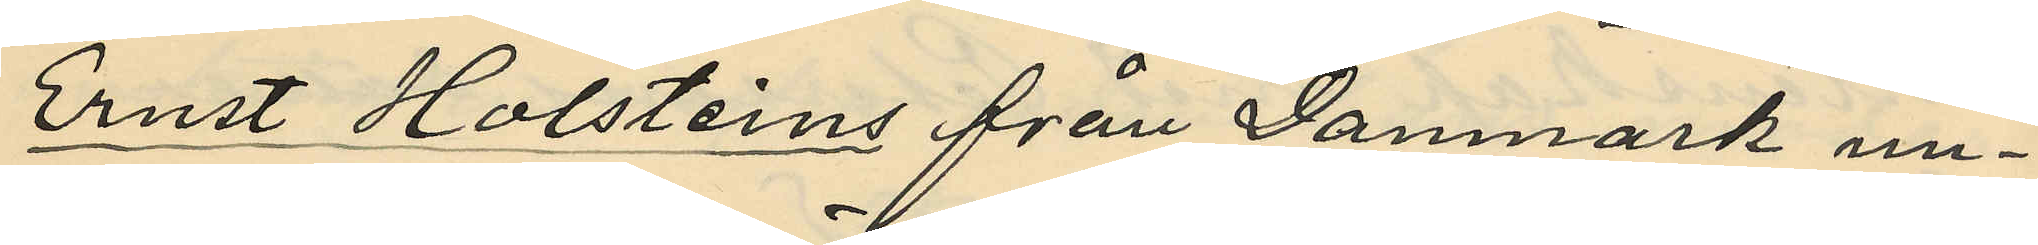Ernst Holstems från Danmark un¬
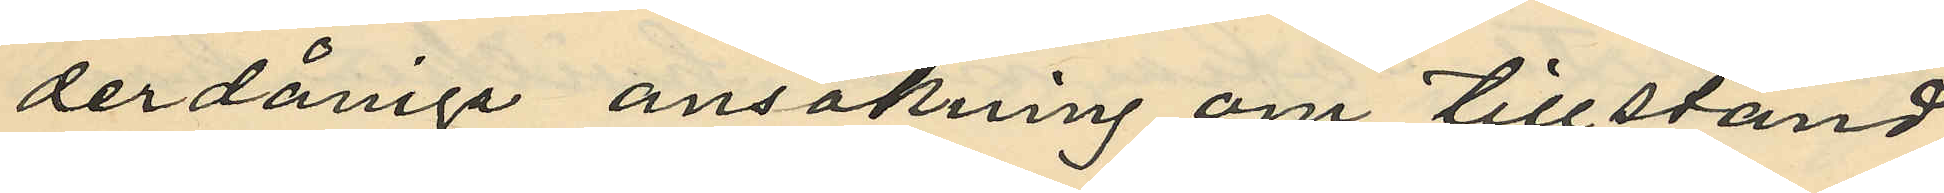derdåniga ansökning om tillstånd
